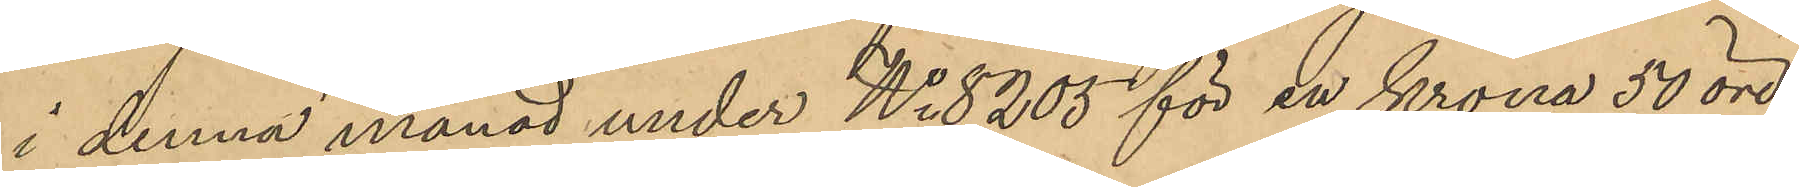i denna månad under No 8205 för en krona 50 öre
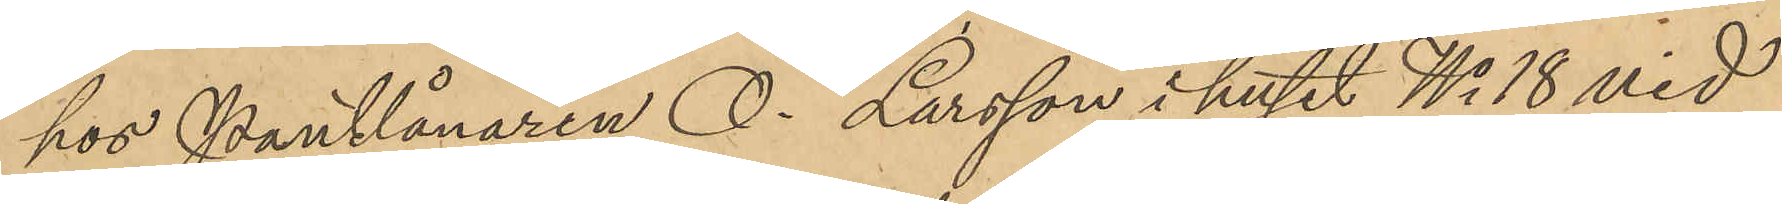hos Pantlånaren O. Larsson i huset No 18 vid
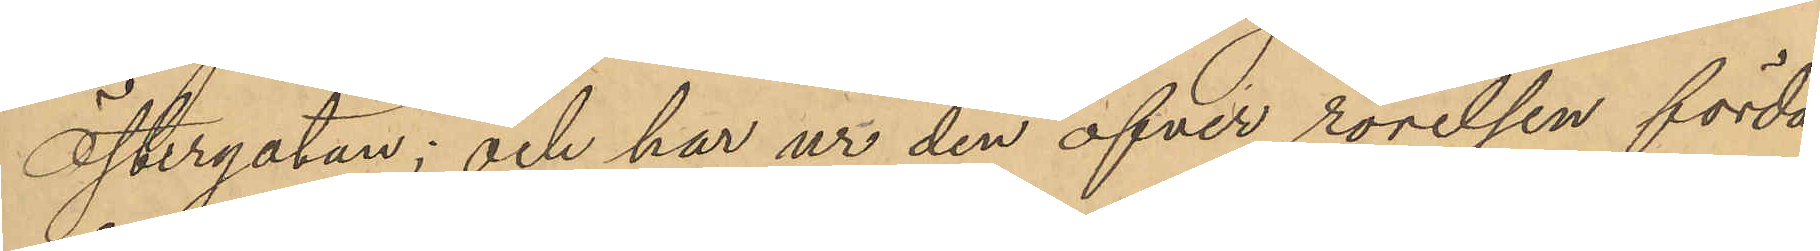Östergatan; och har ur den öfver rörelsen förda
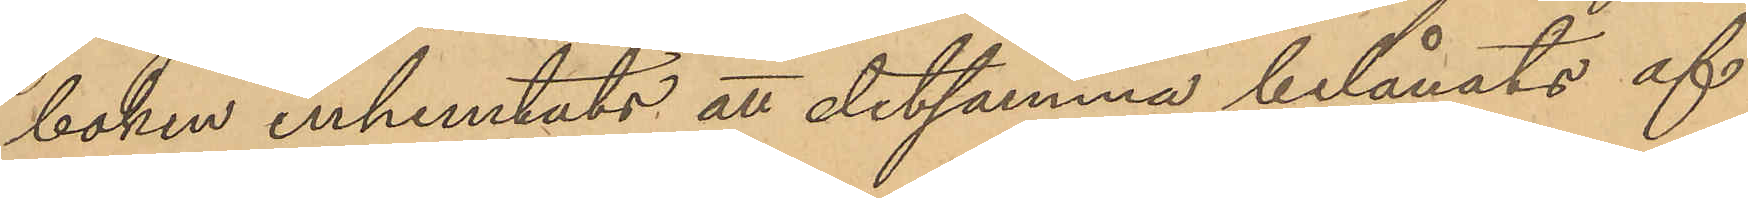boken inhemtats att detsamma belånats af
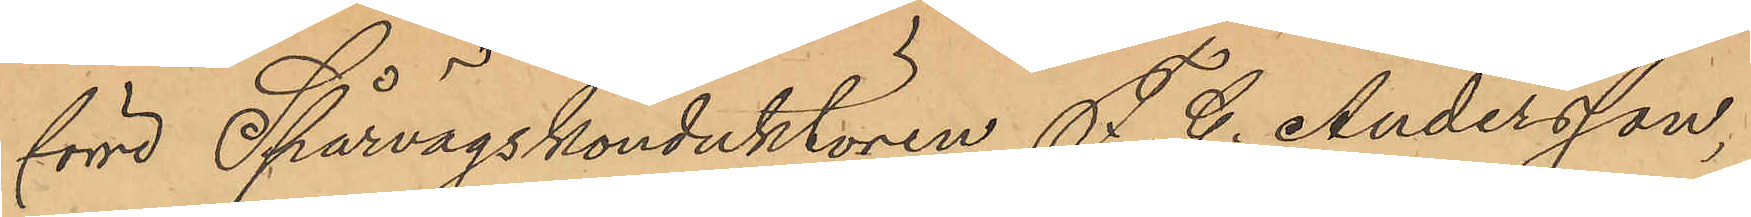förre Spårvägskonduktören F. G. Andersson,
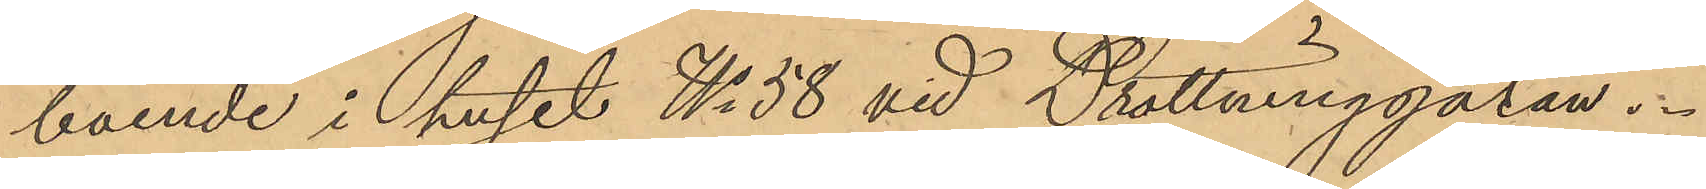boende i huset No 58 vid Drottninggatan.
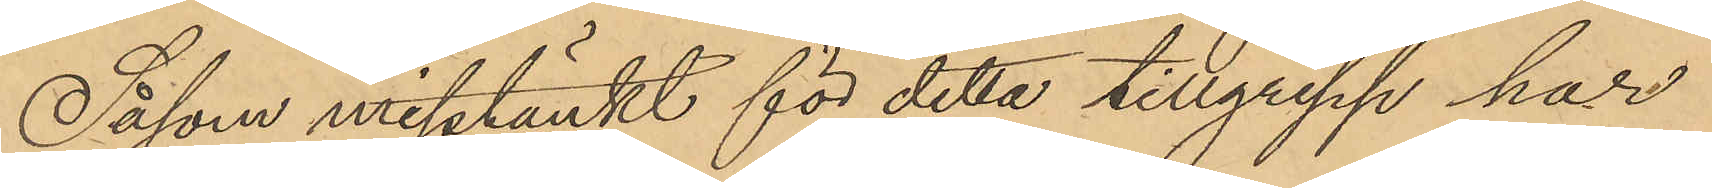Såsom misstänkt för detta tillgrepp har
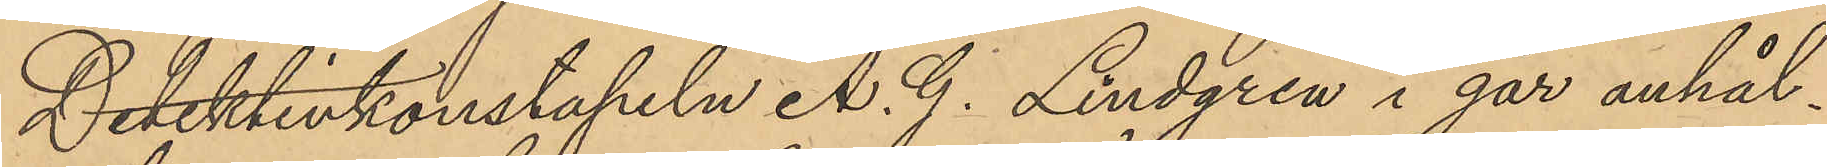Detektivkonstapeln A. G. Lindgren i går anhål¬
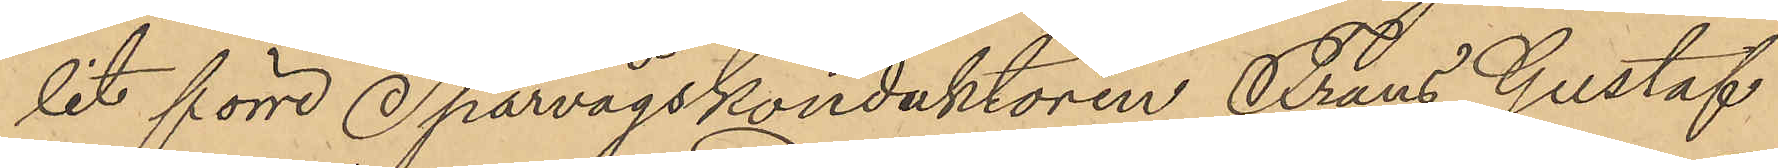lit förre Spårvägskonduktören Frans Gustaf
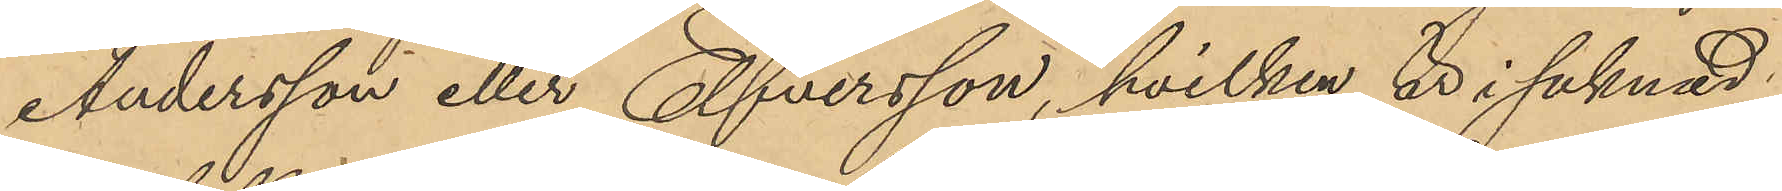Andersson eller Elfversson, hvilken är i saknad
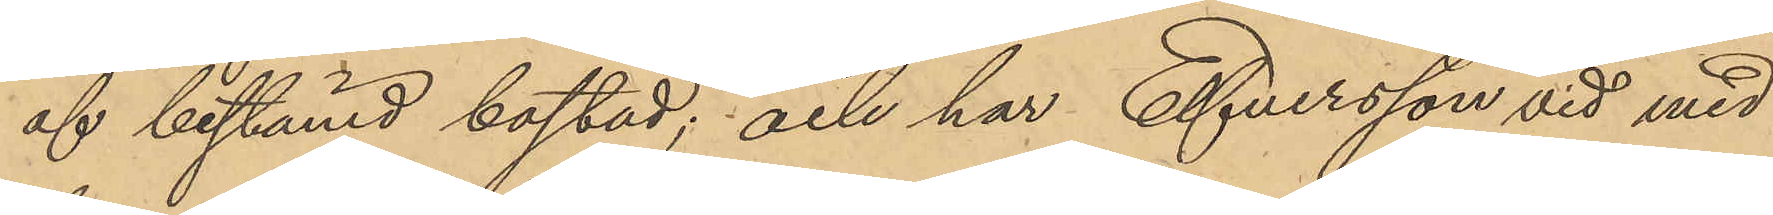af bestämd bostad; och har Elfversson vid med
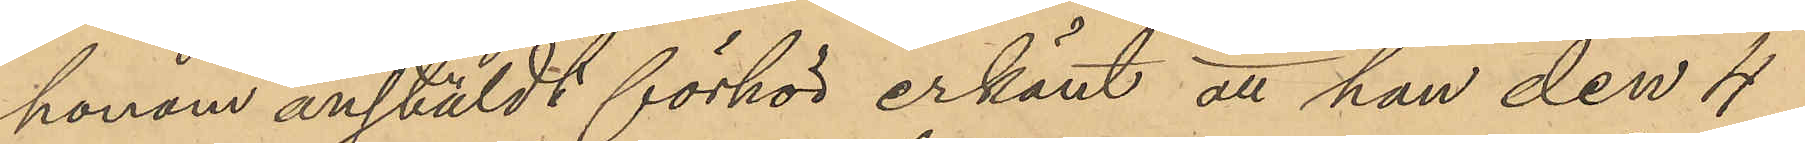honom anstäldt förhör erkänt att han den 4
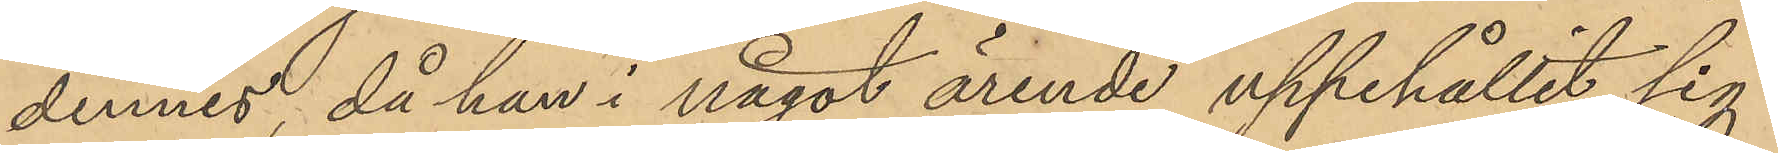dennes, då han i något ärende uppehållit sig
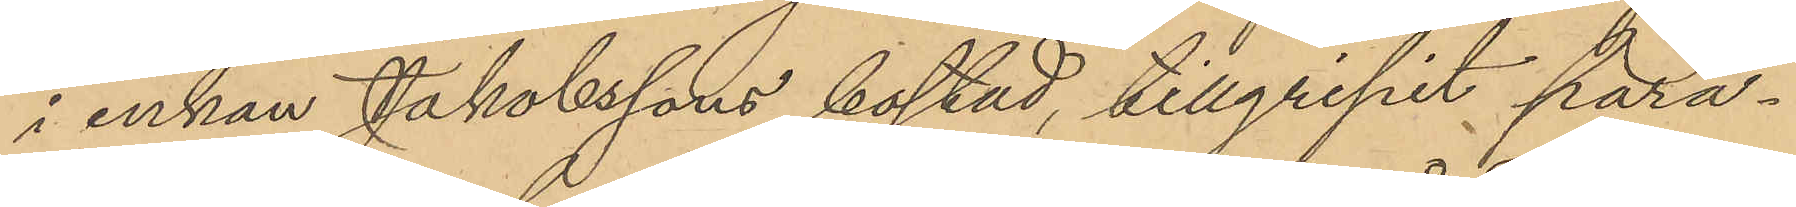i enkan Jakobssons bostad, tillgripit para¬
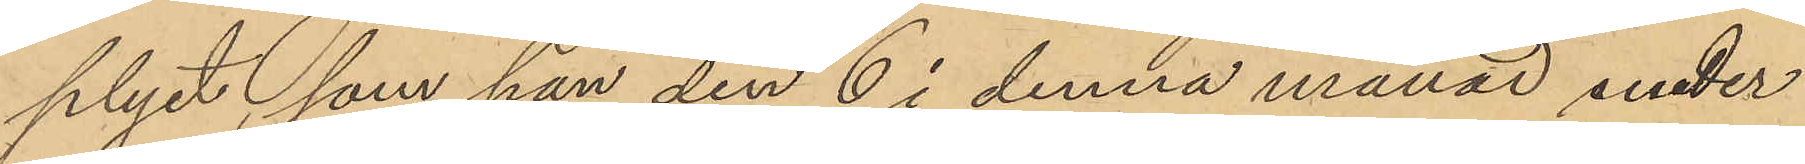plyet, som han den 6 i denna månad under
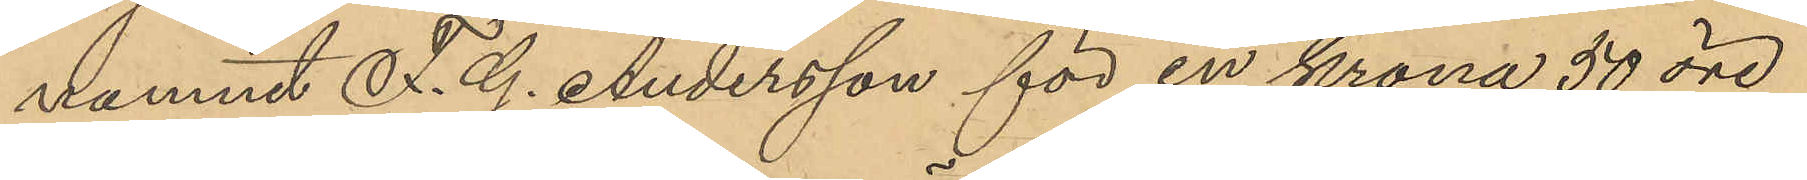namnet F. G. Andersson för en krona 50 öre
